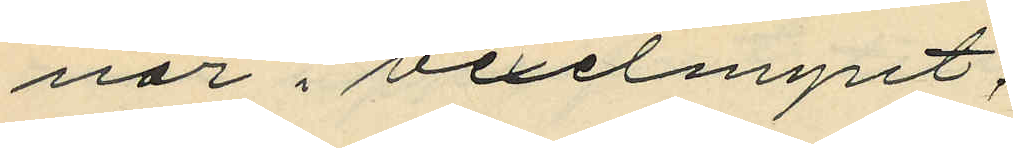nor i vexelmynt.
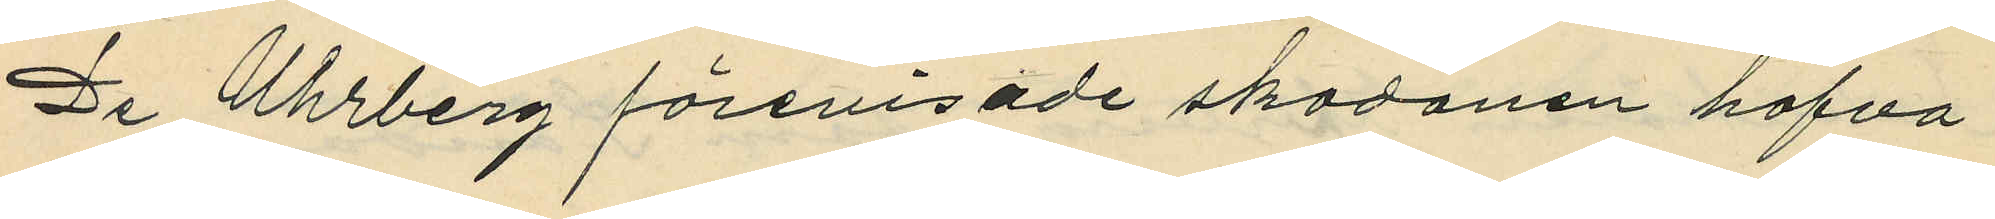De Uhrberg förevisade skodonen hafva
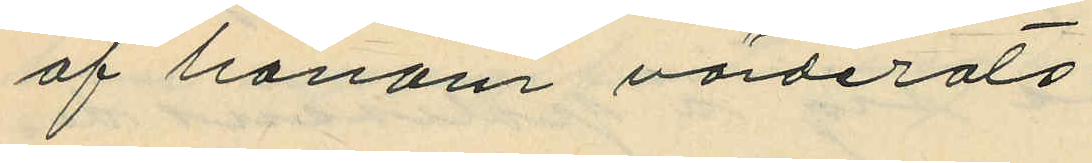af honom värderats:
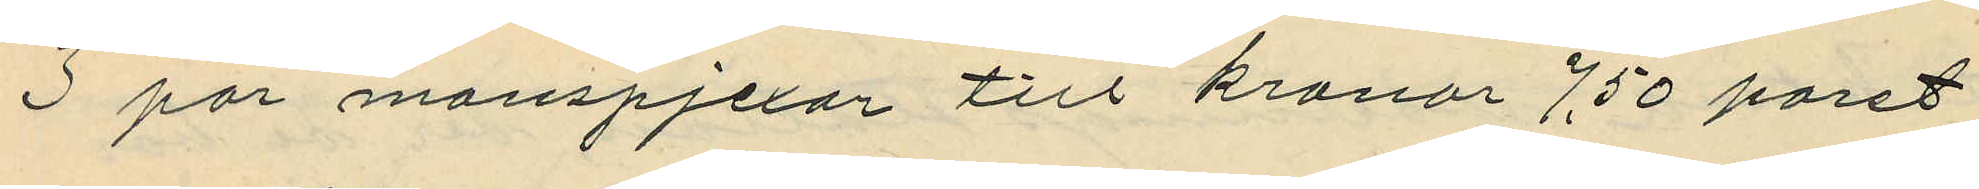3 par manspjexor till kronor 7,50 paret
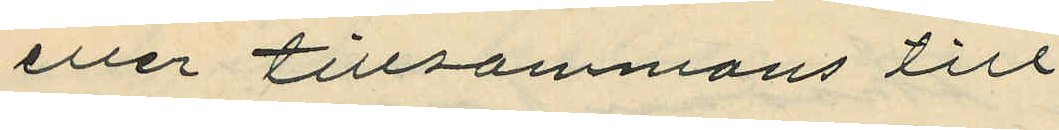eller tillsammans till
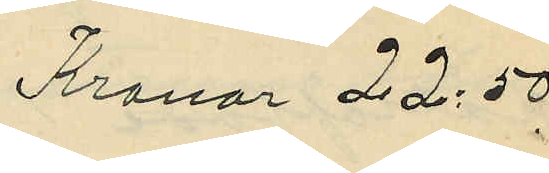Kronor 22:50
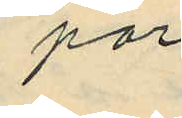1 par
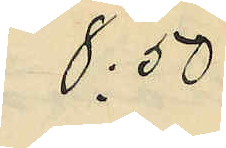8:50
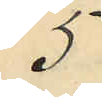5
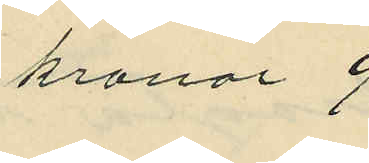kronor 9
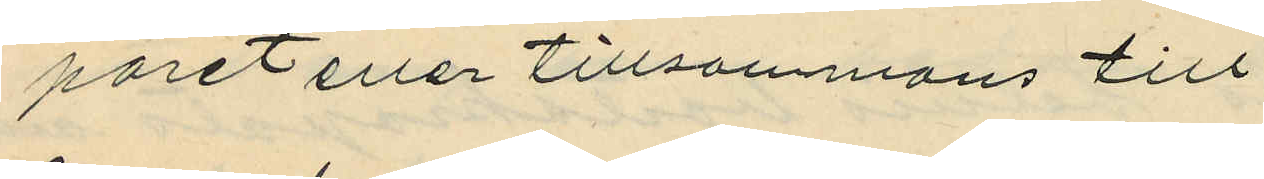paret eller tillsammans till
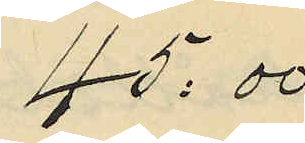45:00
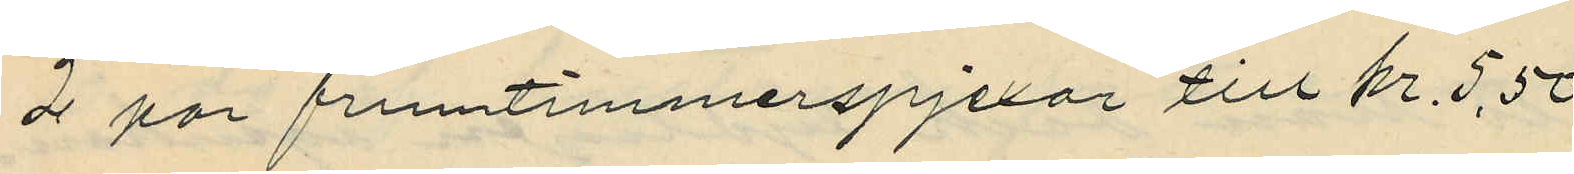2 par fruntimmerspjexor till kr 5,50
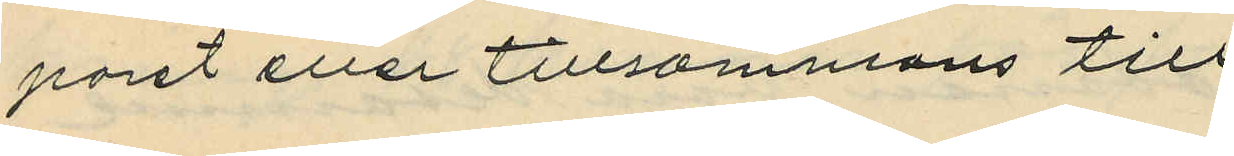paret eller tillsammans till
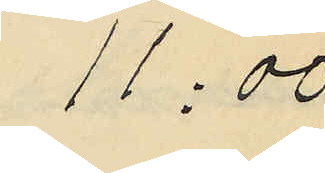11:00
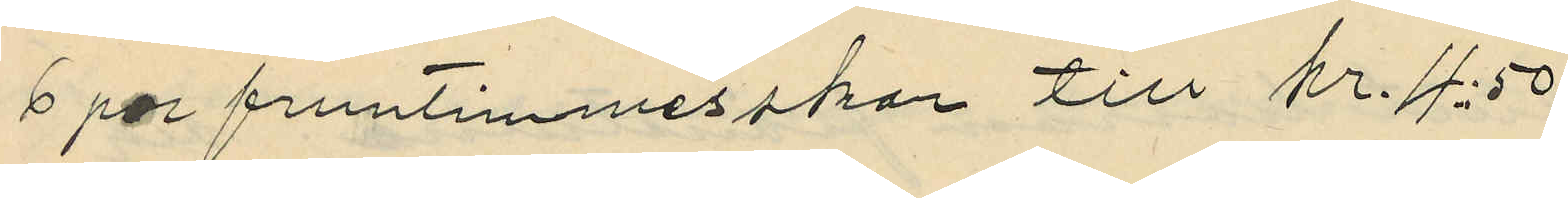6 par fruntimmersskor till kr 4:50
